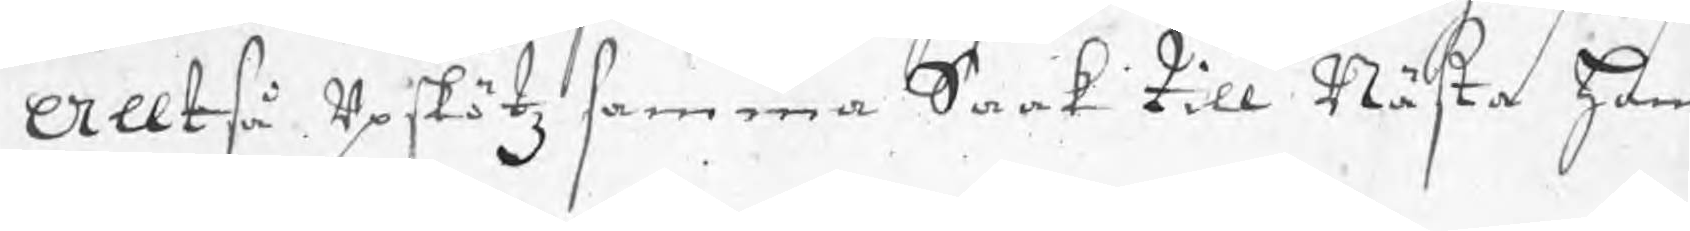Alltså upskötz samma Saak till Nästa ham
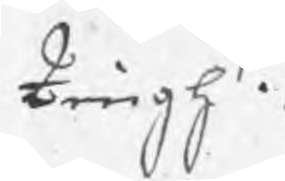tingh.
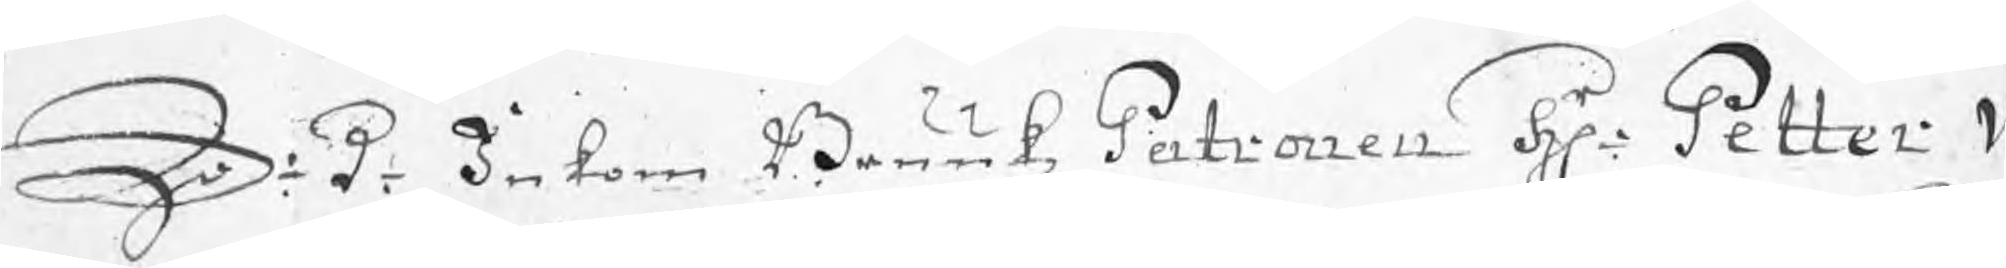S: d: Inkom Brukkz Patronen Hr Petter W
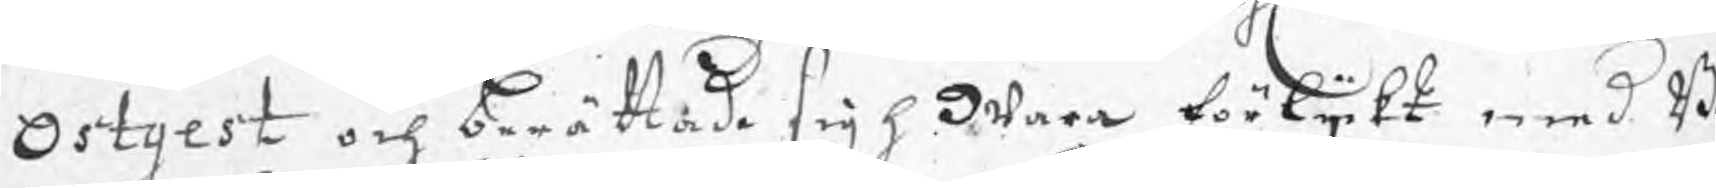Ostgest och berättade sigh wara förlijkt med B
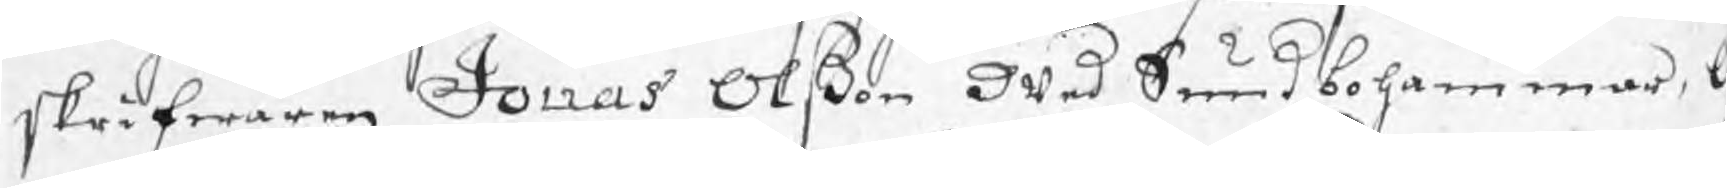skrifwaren Jonas Olßon wed Sundbohammar, 
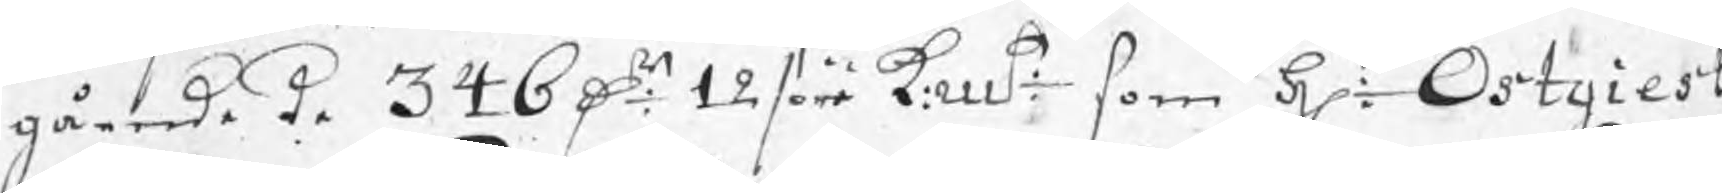gående de 346 Dr 12 /öre k:mt som Hr: Ostgiest
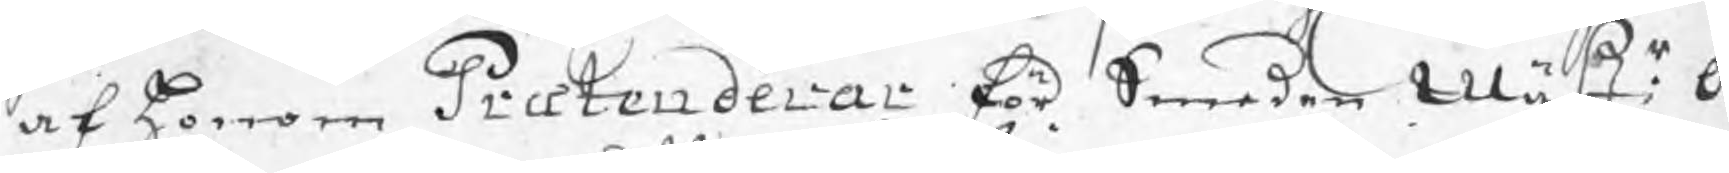af honom Prætenderar för Smeden Mästr: O
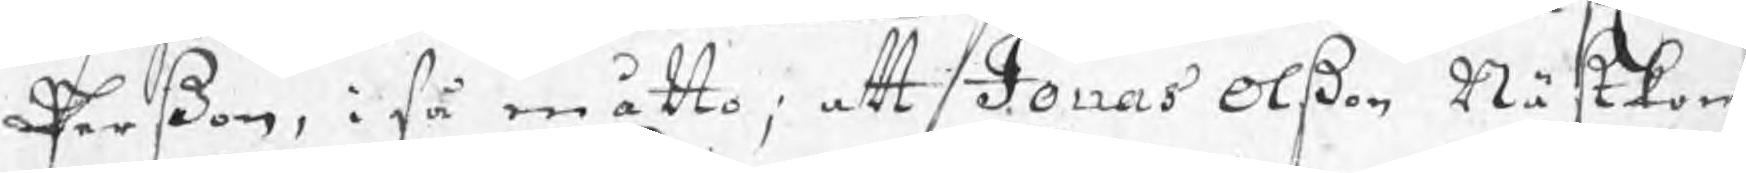Perßon, i så måtto; att Jonas Olßon Nästkom
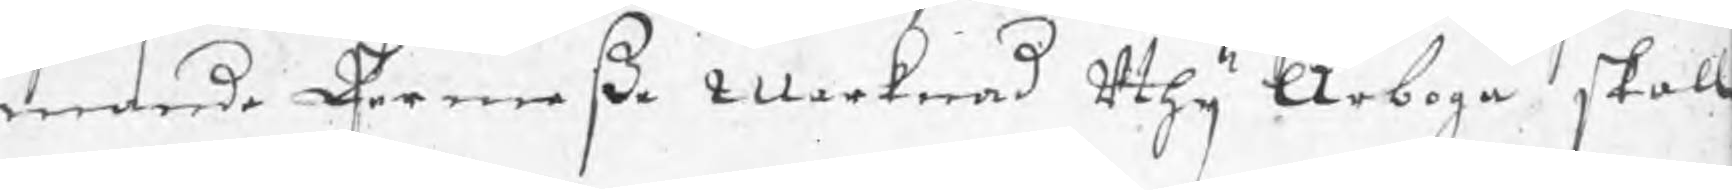mande Permeße Marknad uthij Arboga skall
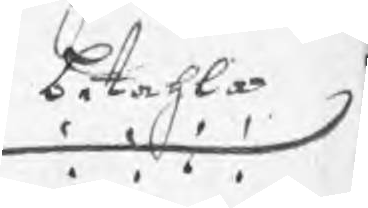betahla
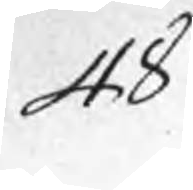48
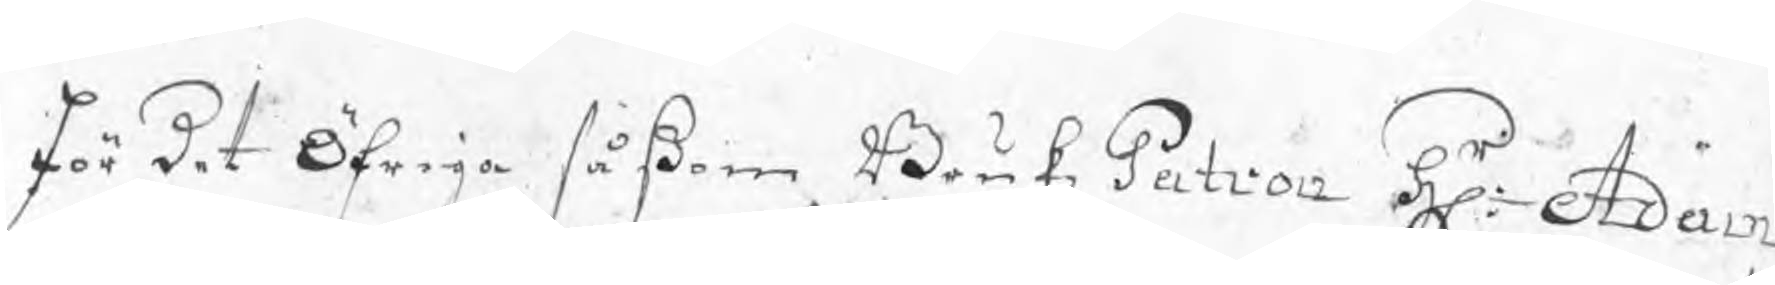för det öfriga såßom BrukzPatron Hr: Adam
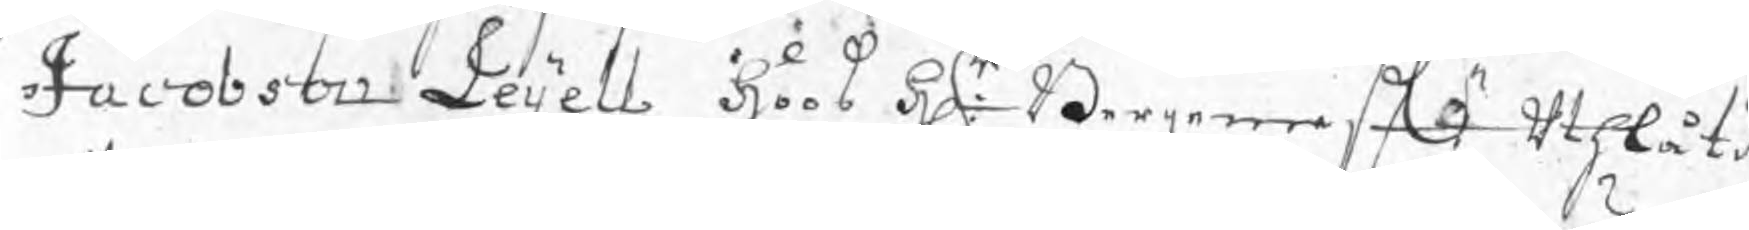Jacobson Leijell hoos Hr: Borgaren eij uthlåtit
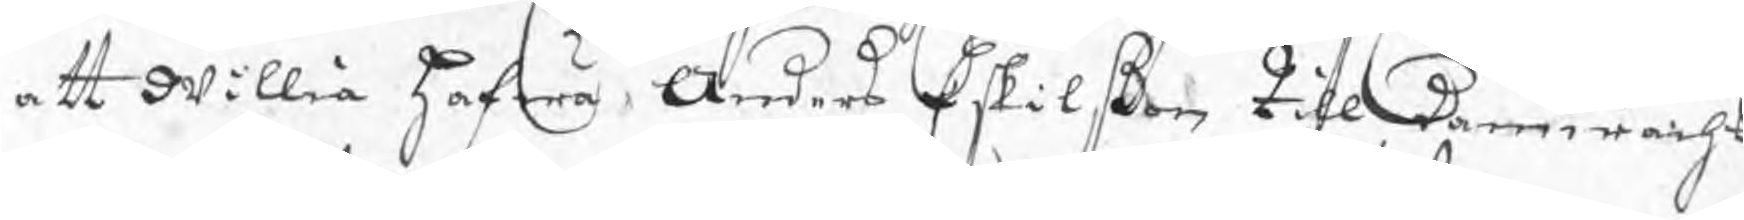att willia hafwa Anders Eskilßon till damwacht
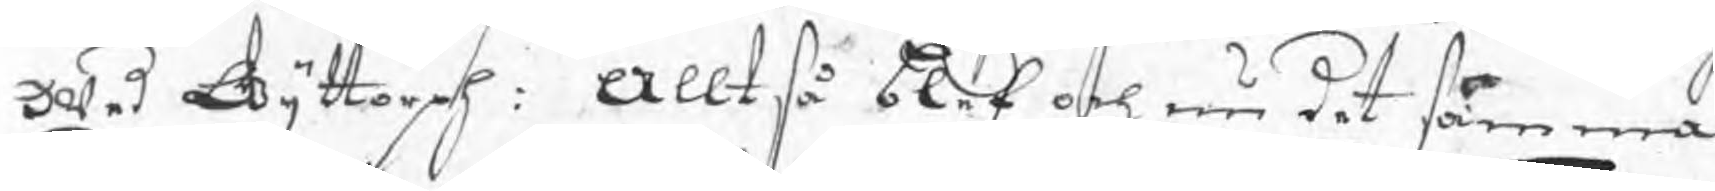wed Gyttorph. Alltså blef och nu det samma
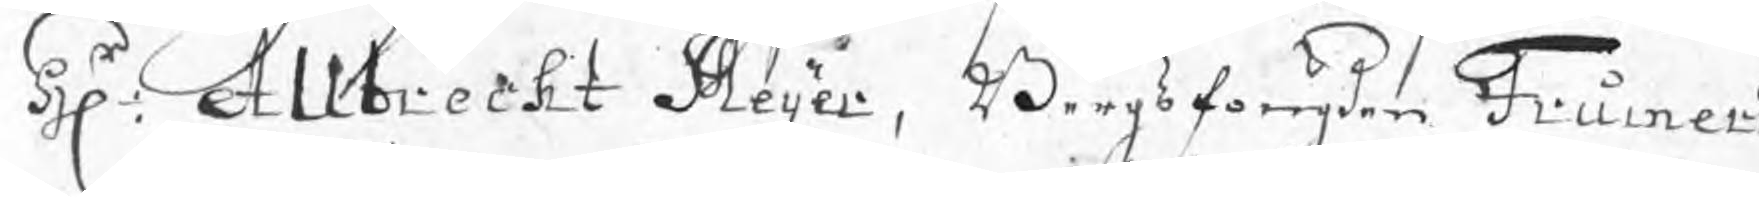Hr: Allbrecht Meijer, Bergsfougden Frumeri
